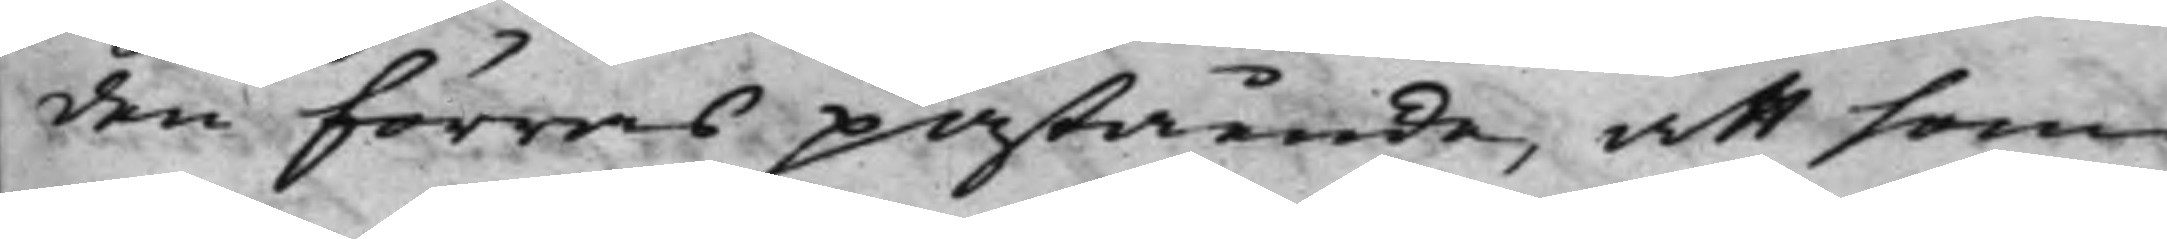den förras påstående, att som
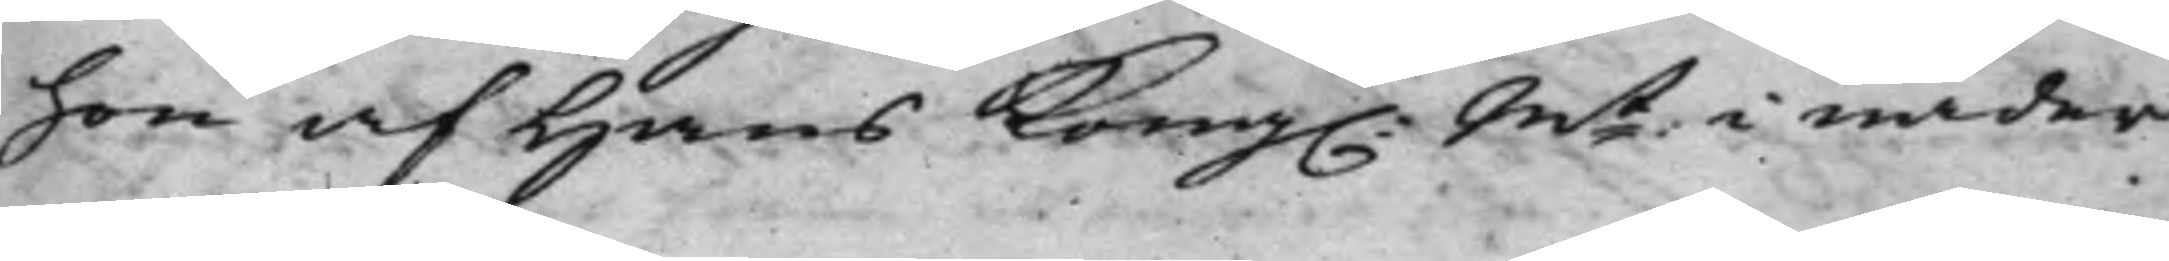hon af Hans Kong. Mt i nåder
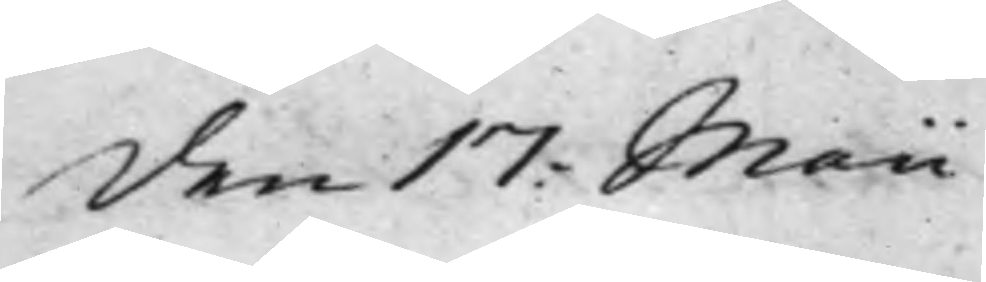den 17: Maii
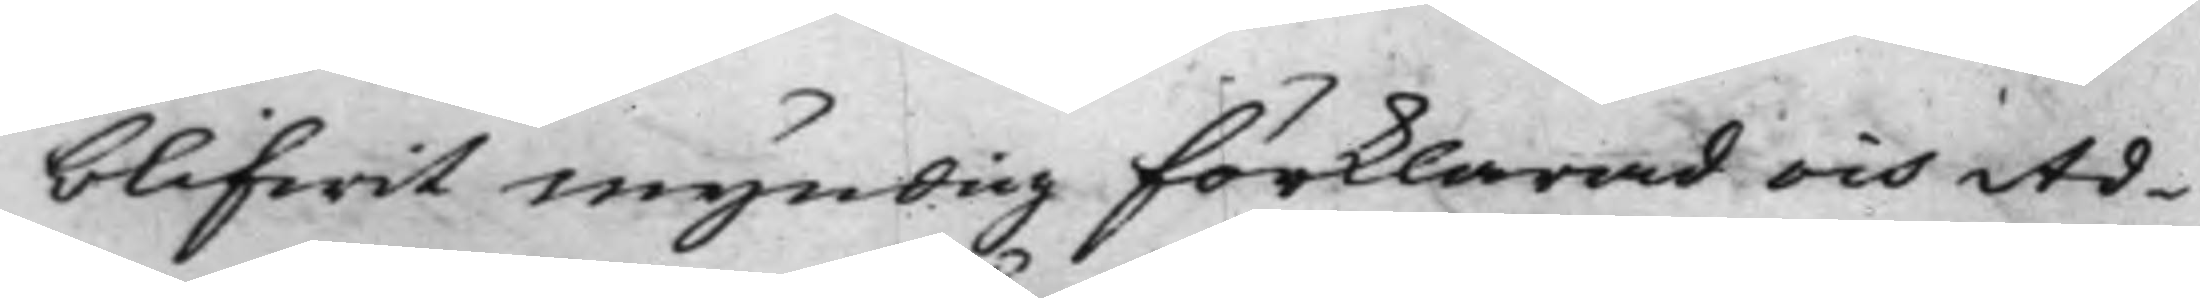blifwit myndig förklarad och Ad¬
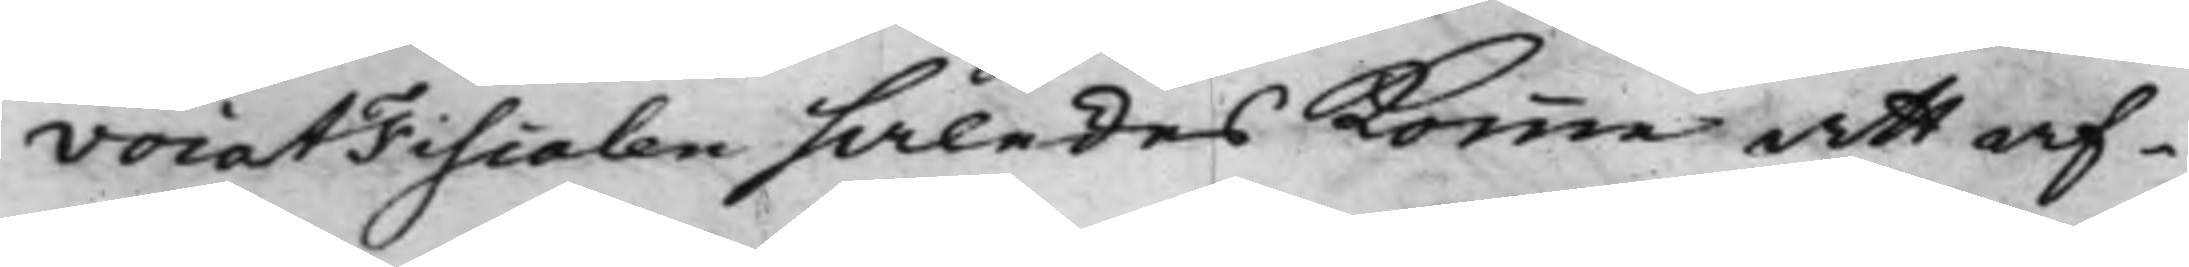vocatFiscalen således komme att af¬
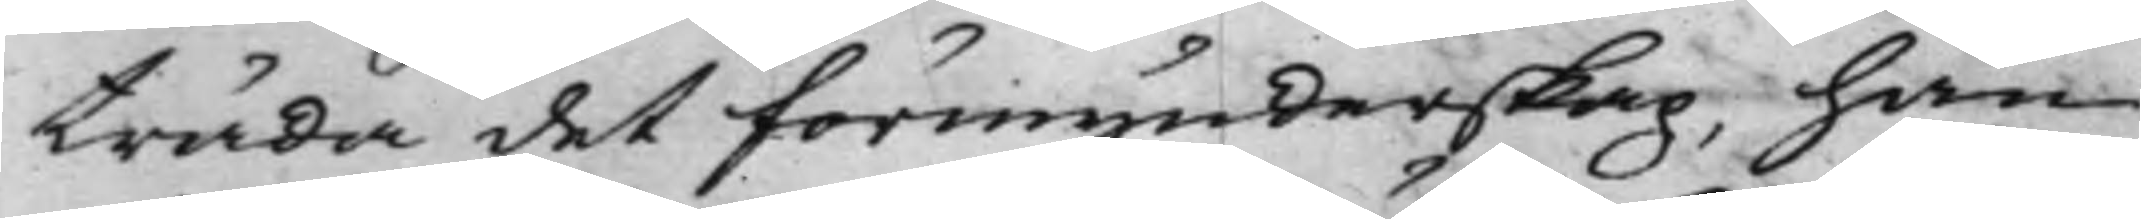träda det förmynderskap, han
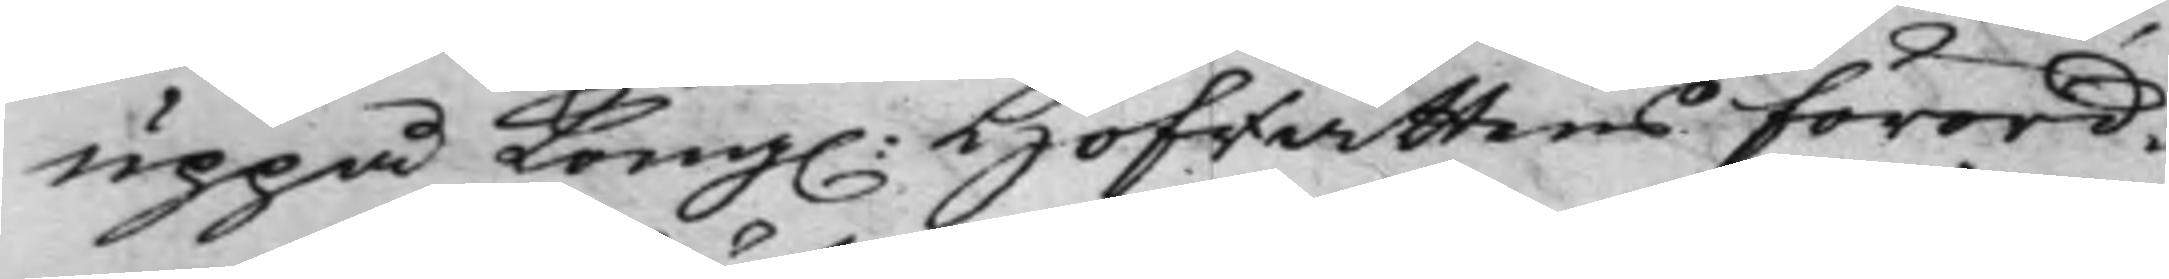uppå Kong. Hofrättens förord¬
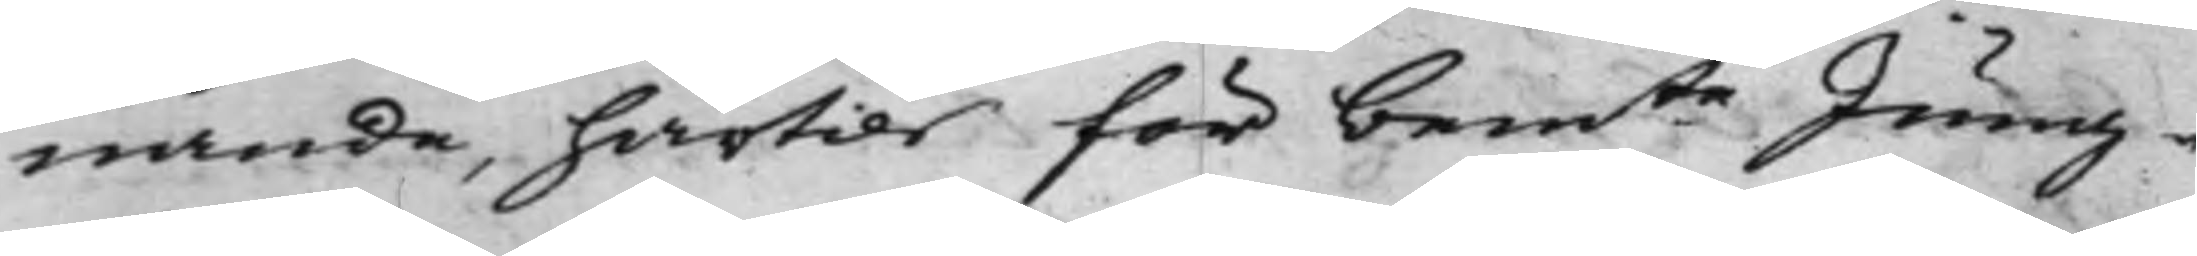nande, härtils för bemte Jung¬
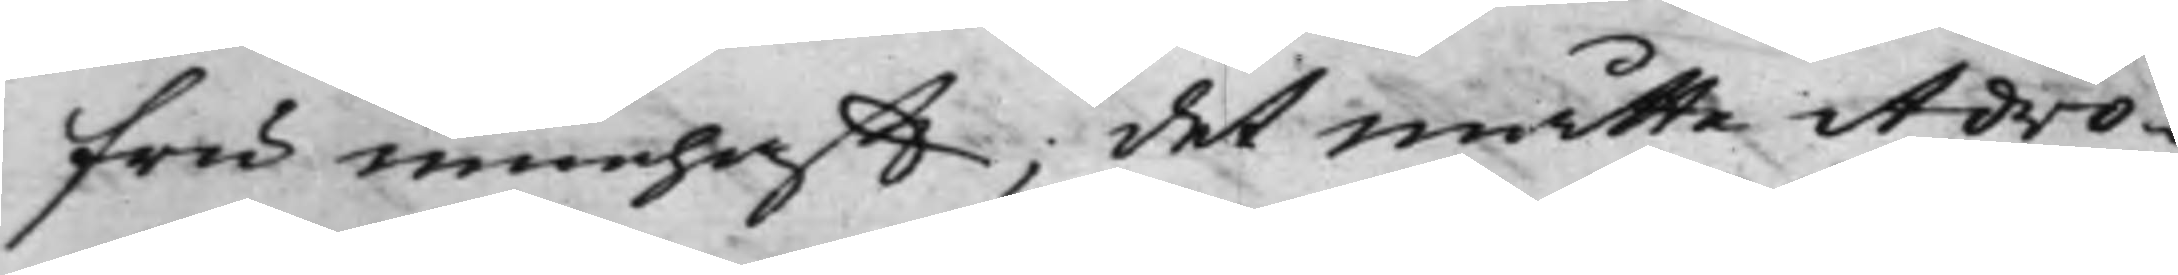fru innehafft; det måtte Advo¬
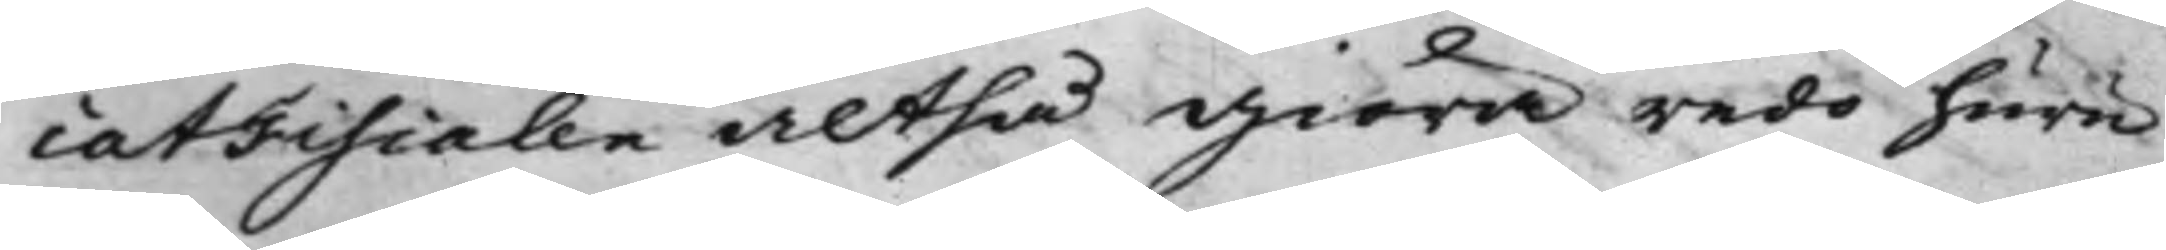catFiscalen altså giöra redo huru
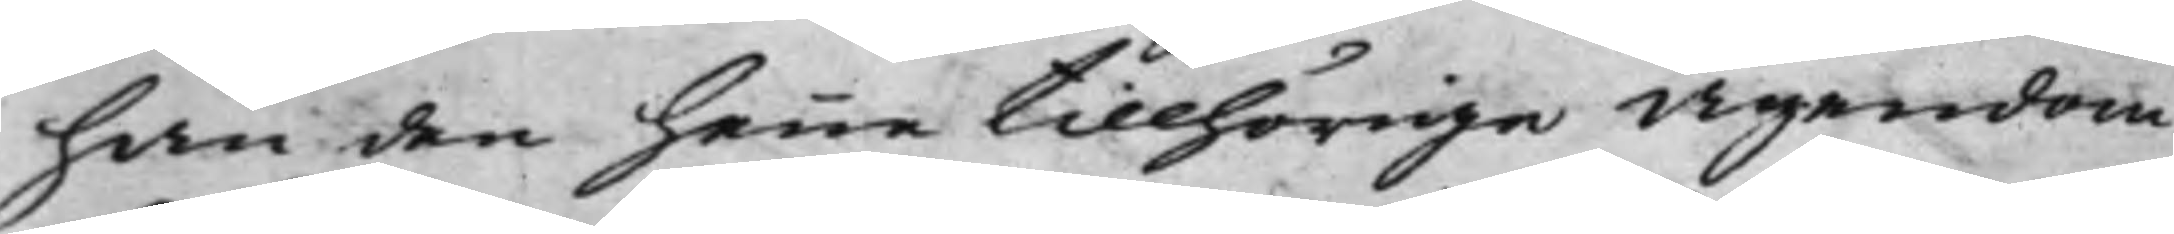han den henne tillhörige Ägendom
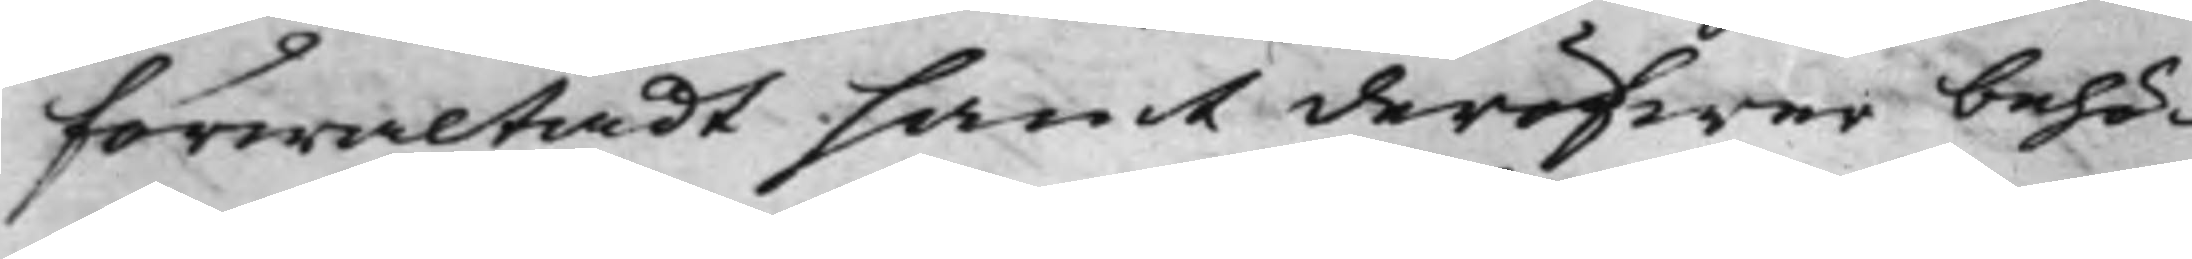förwaltadt samt deröfwer behö¬
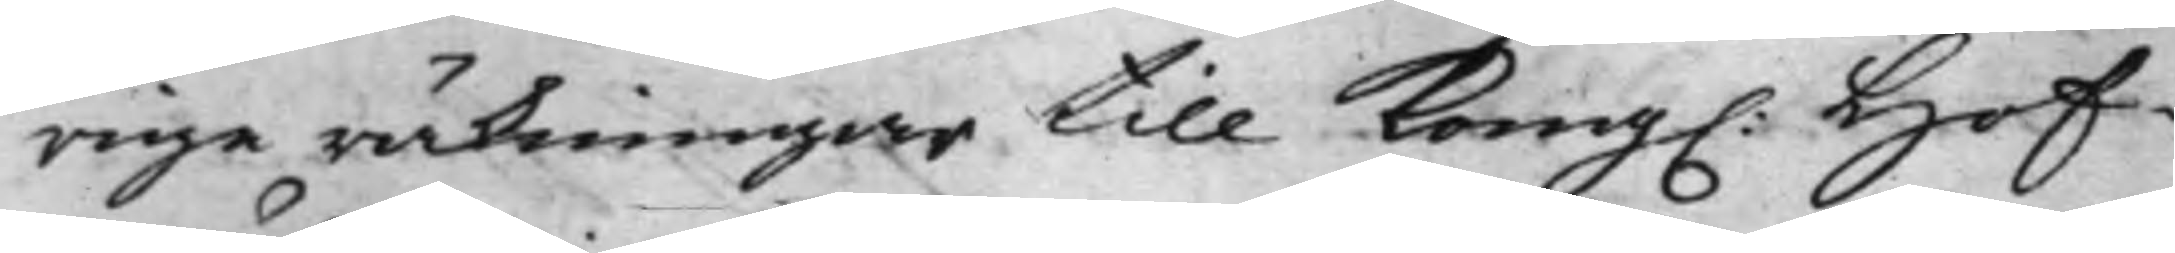rige räkningar till Kong. Hof¬
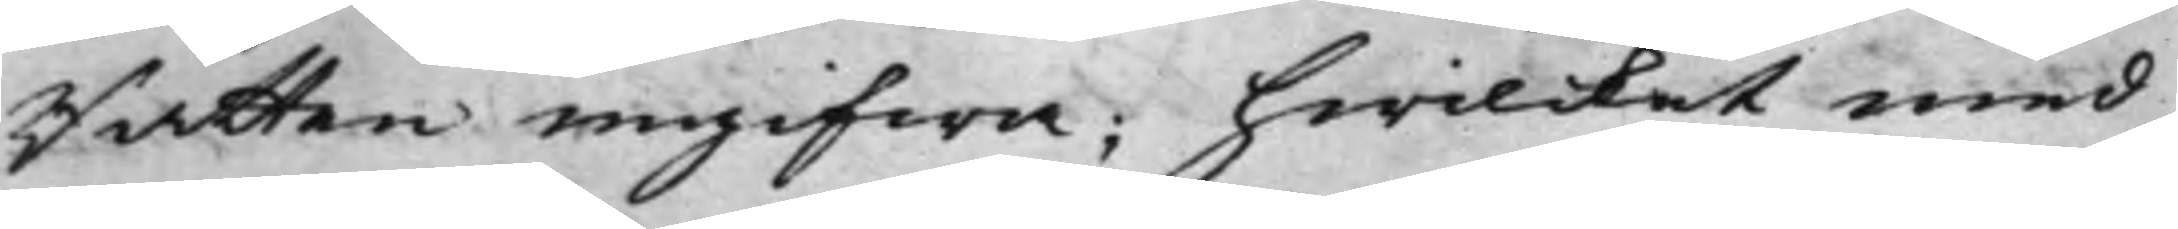Rätten ingifwa; hwilcket med
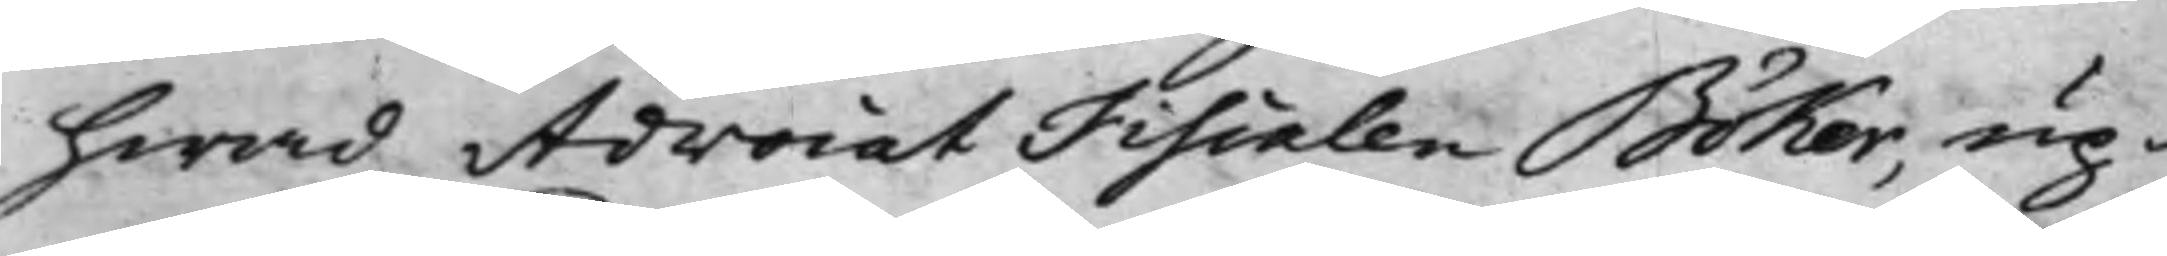hwad AdvocatFiscalen Böker, up¬
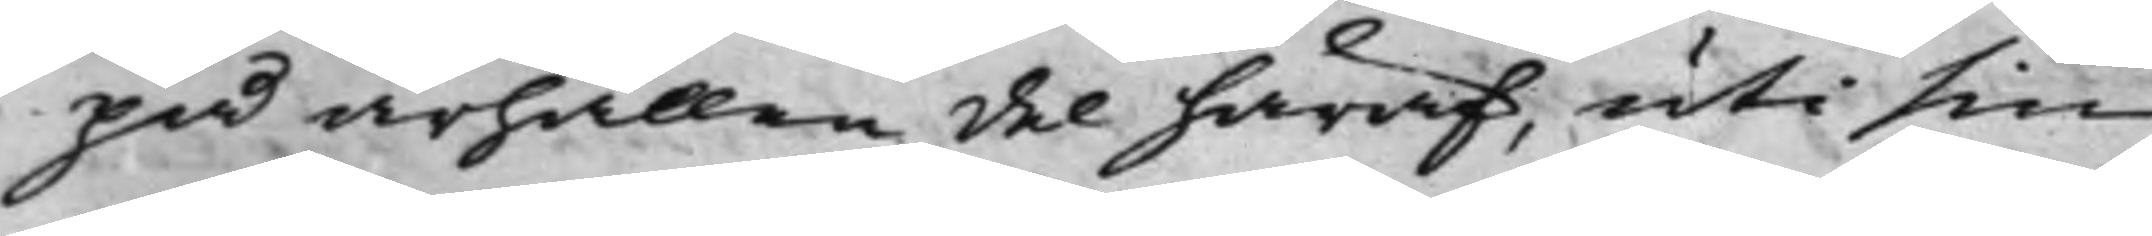på ärhållen del häraf, uti sin
